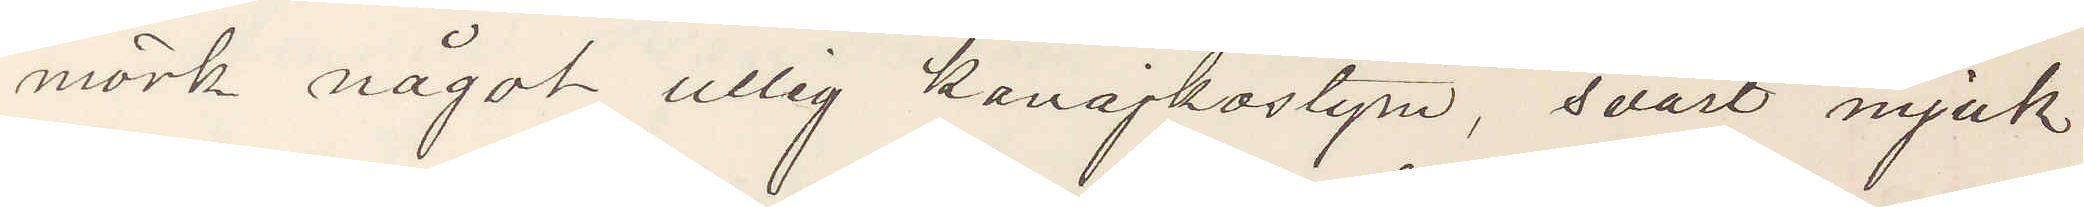mörk något ullig kavajkostym, svart mjuk
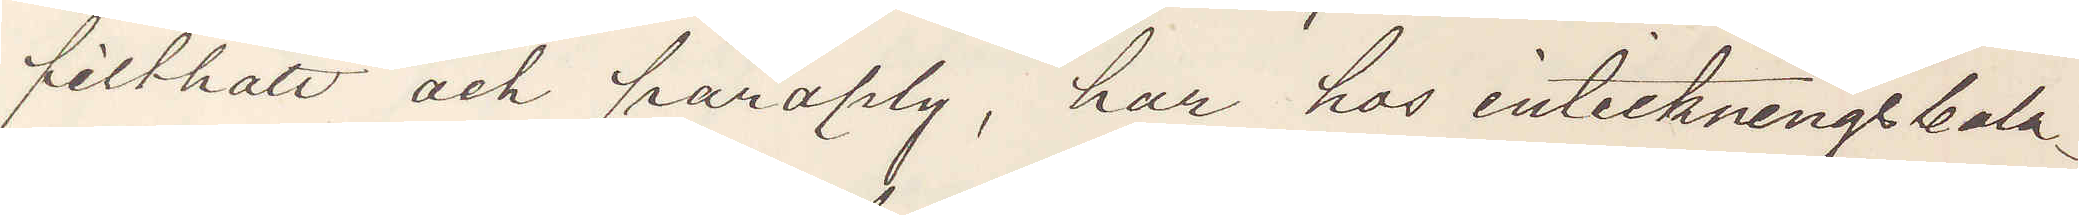filthatt och paraply, har hos inteckningsbola¬
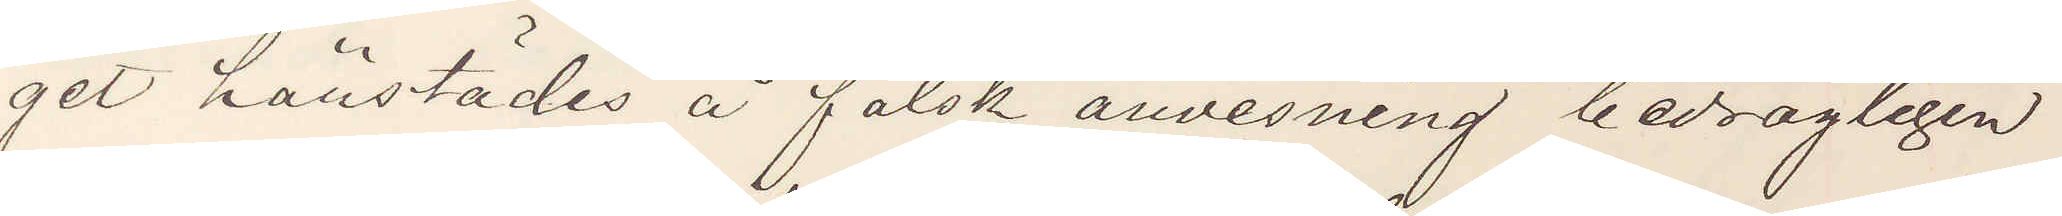get härstädes å falsk anvisning bedrägligen
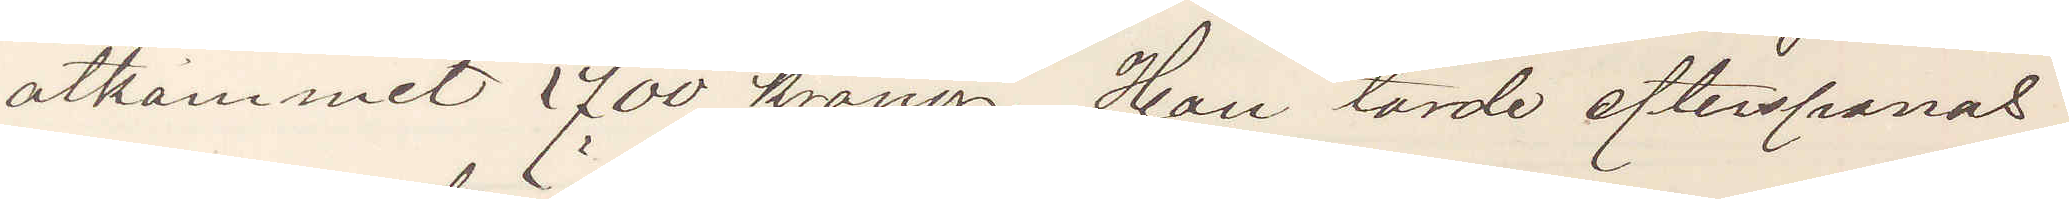åtkommit 700 kronor. Han torde efterspanas
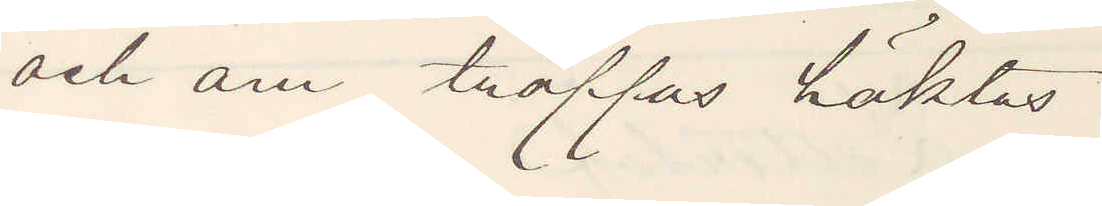och om träffas häktas.
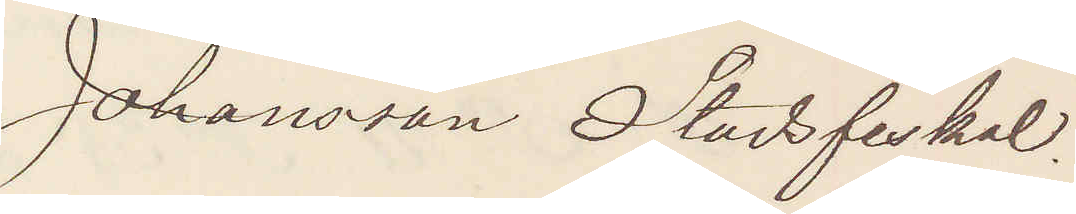Johansson Stadsfiskal.
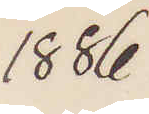1886
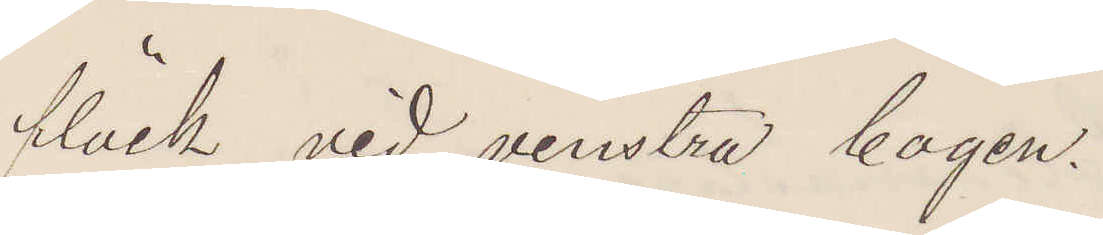fläck vid venstra bogen.
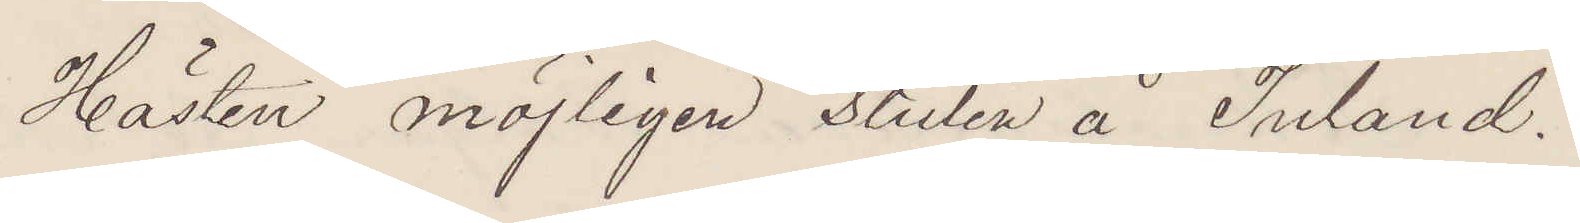Hästen möjligen stulen å Inland.
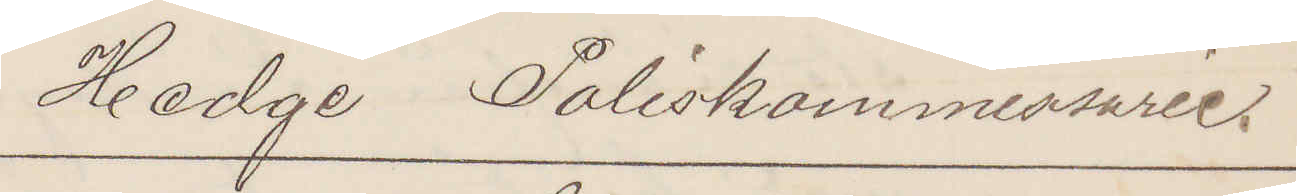Hedge Poliskommissarie.
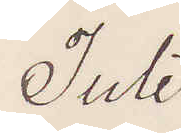Juli
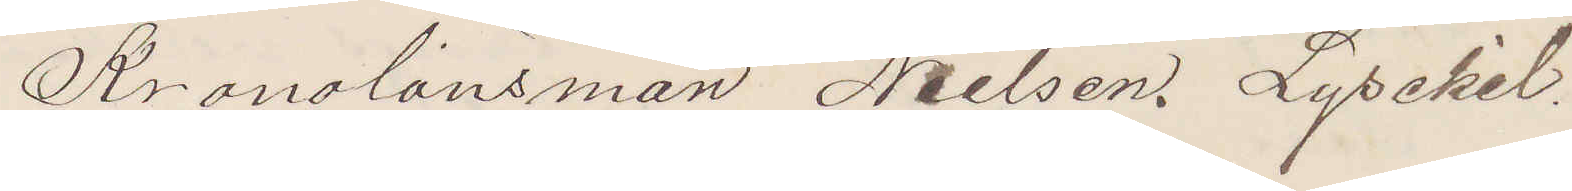Kronolänsman Nielsen. Lysekil.
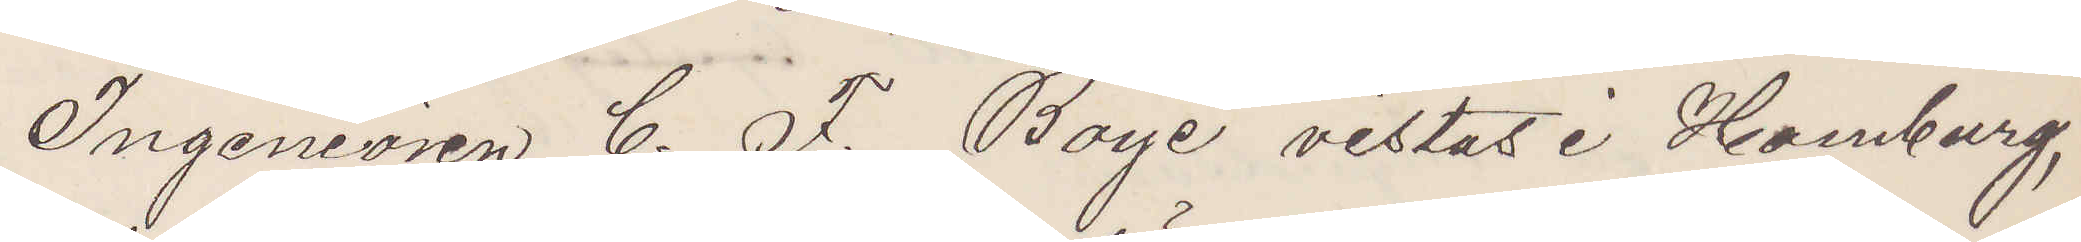Ingeniören C. F. Boye vistas i Hamburg,
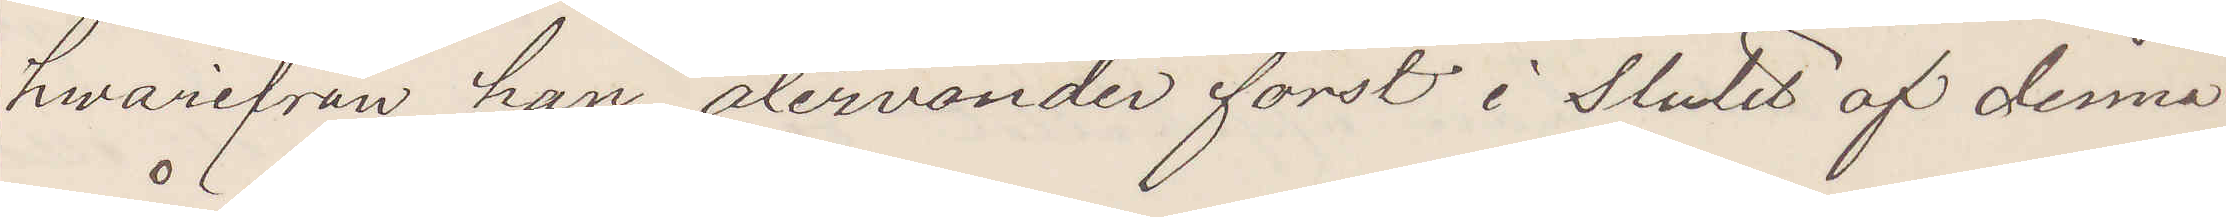hwarifrån han återvänder först i slutet af denna
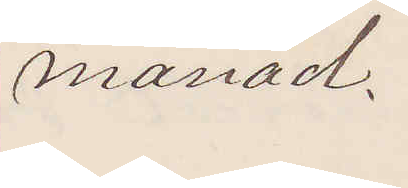månad.
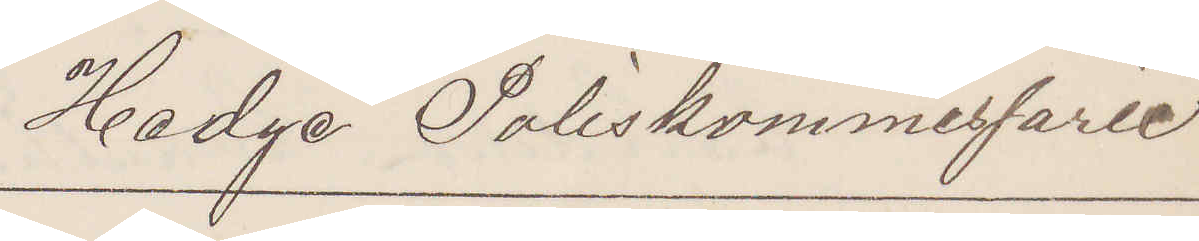Hedge Poliskommissarie
